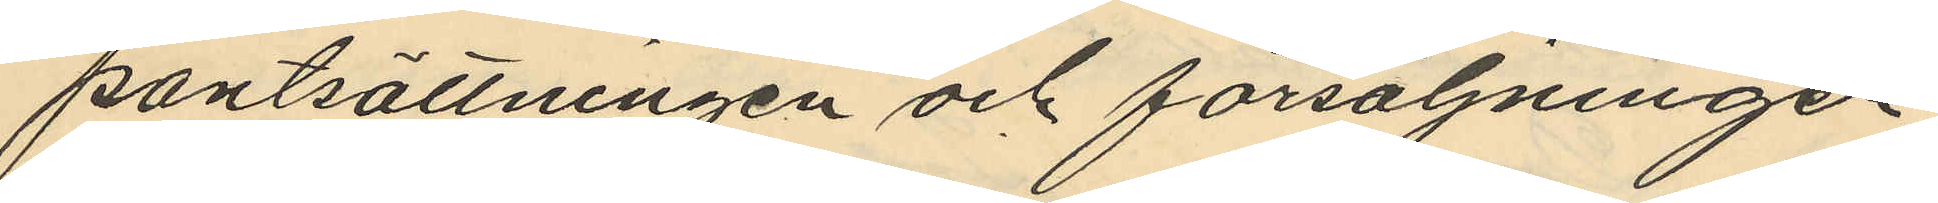pantsättningen och försäljningen
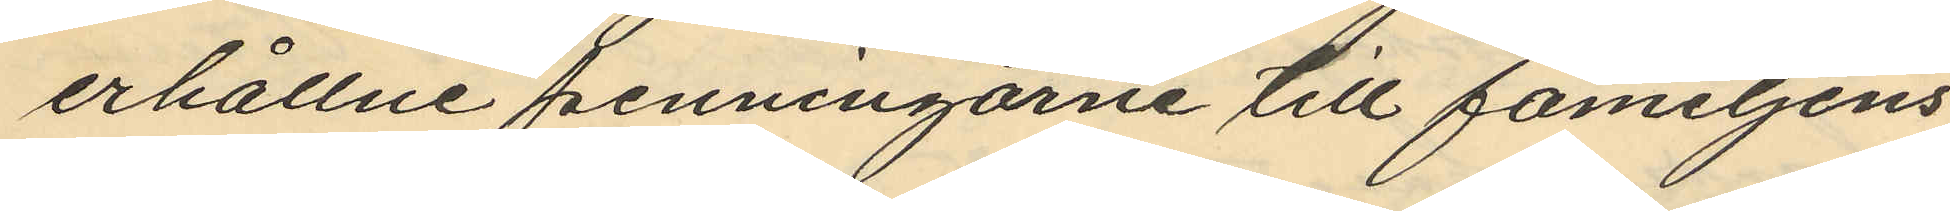erhållne penningarne till famijens
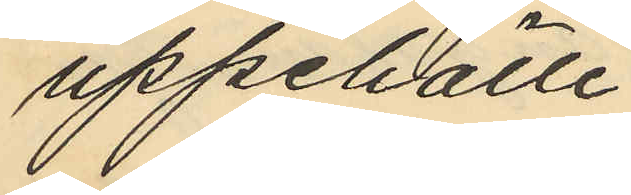uppehälle.
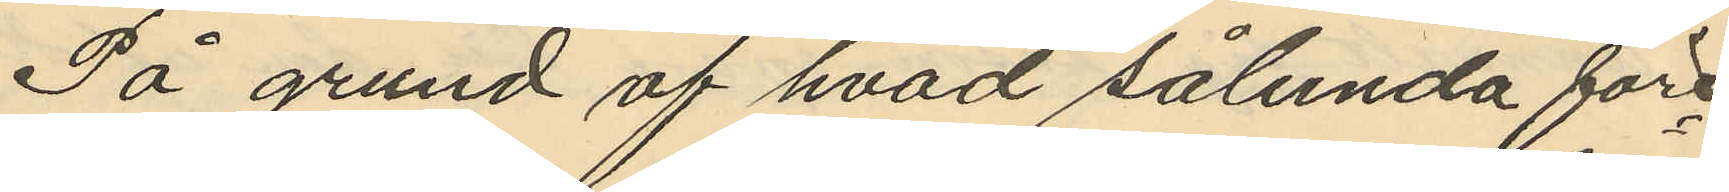På grund af hvad sålunda före¬
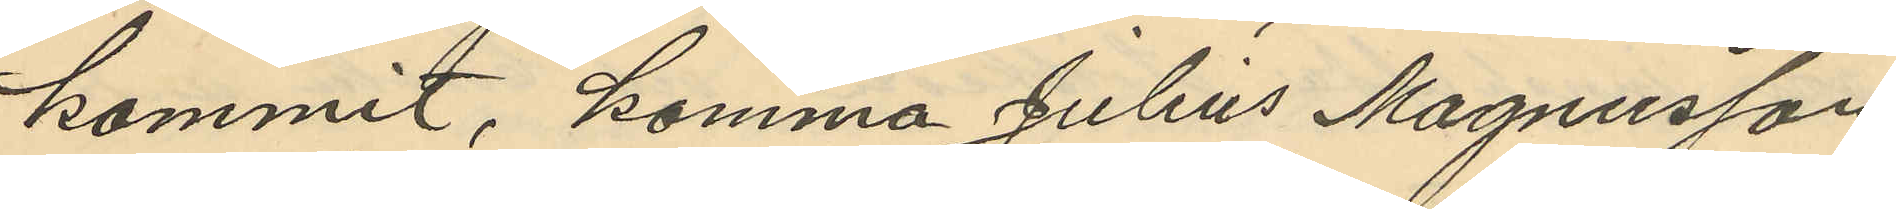kommit, komma Julius Magnusson
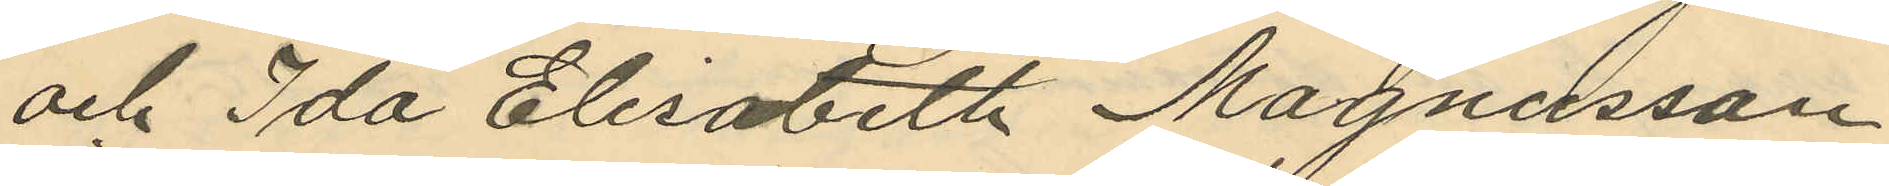och Ida Elisabeth Magnusson
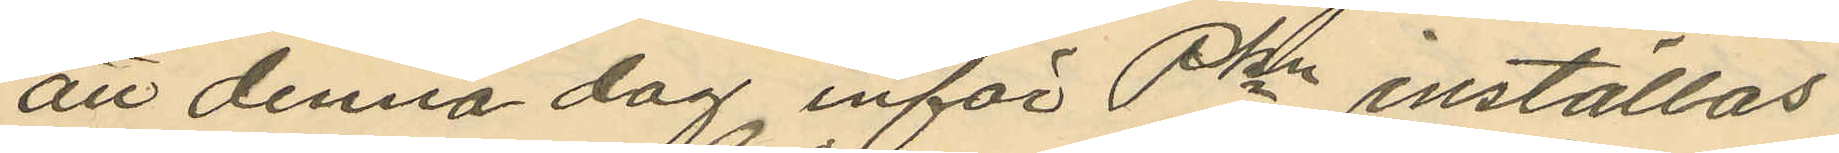att denna dag inför Pkn inställas
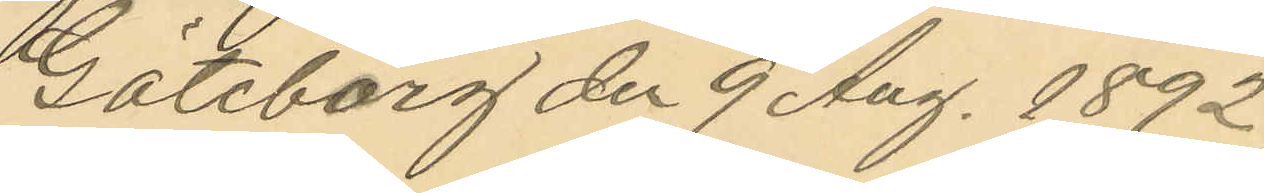Göteborg den 9 Aug. 1892.
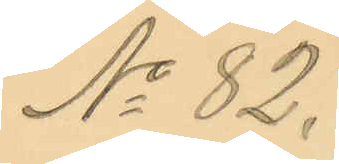No 82.
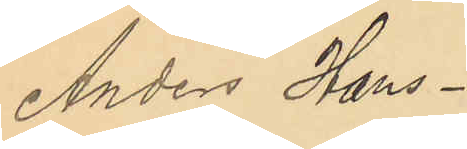Anders Hans¬
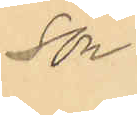son.
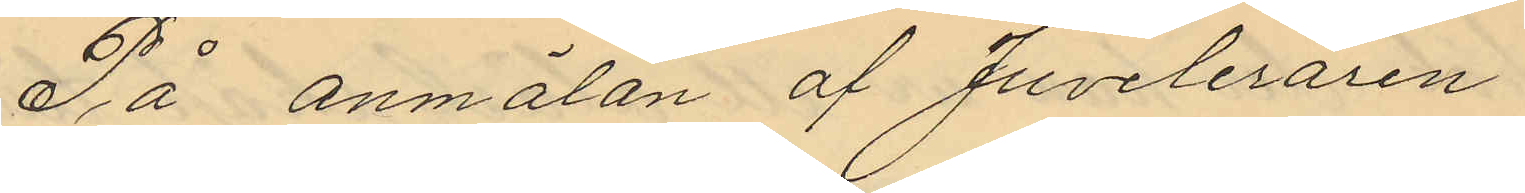På anmälan af Juveleraren
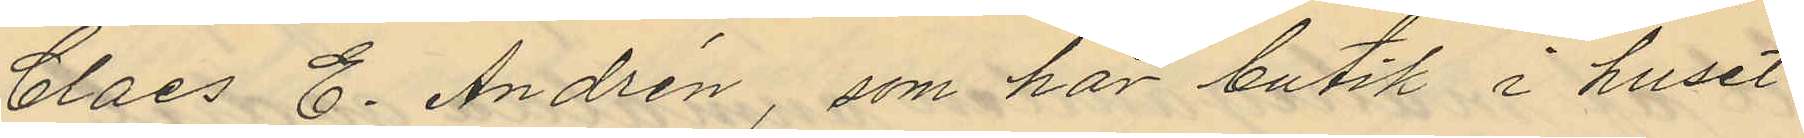Claes E. Andrén, som har butik i huset
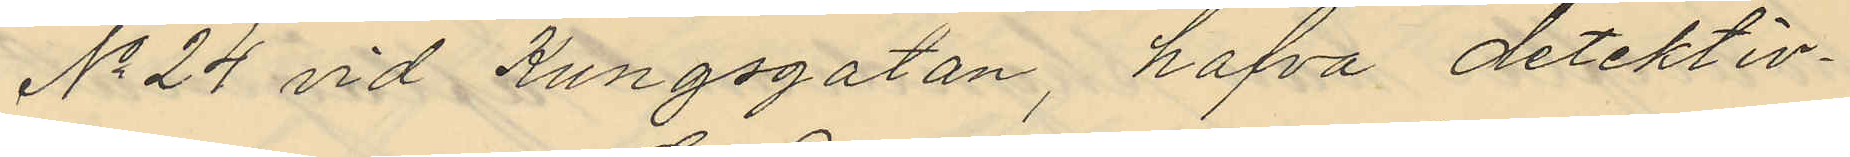No 24 vid Kungsgatan, hafva detektiv¬
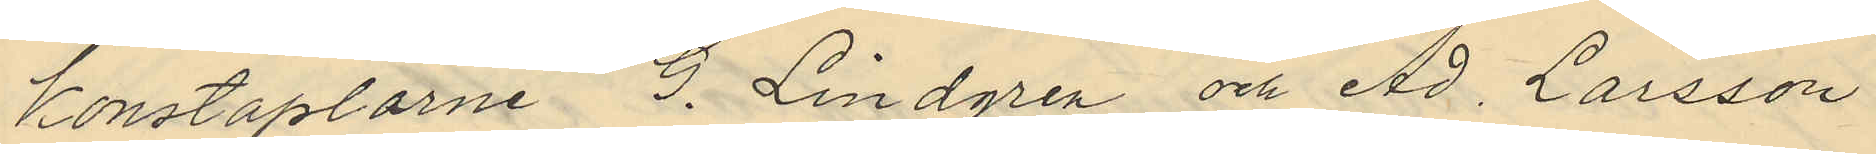konstaplarne G. Lindgren och Ad. Larsson
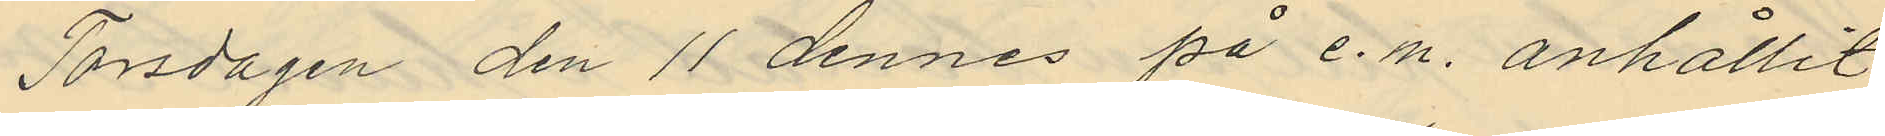Torsdagen den 11 dennes på e.m. anhållit
